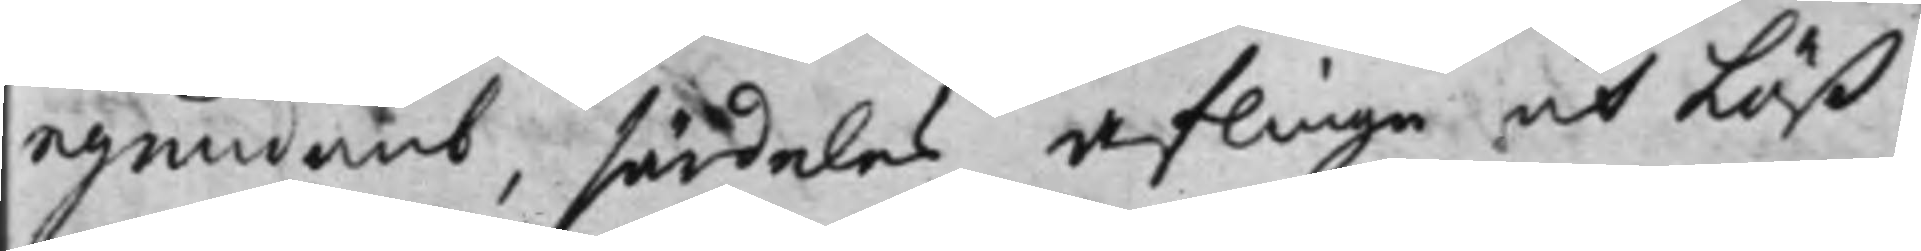egendomb, särdeles aflinge och Löß¬
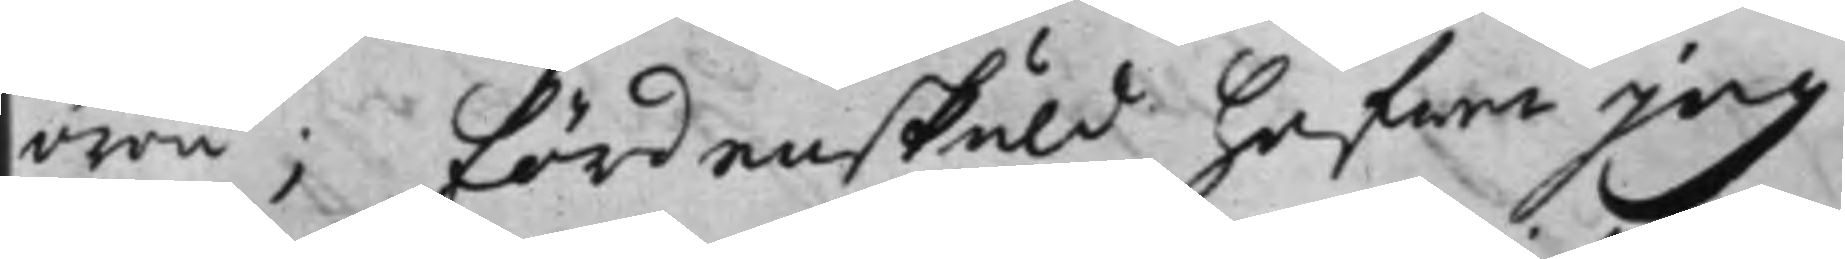ören; fördenskuld hafwer jag
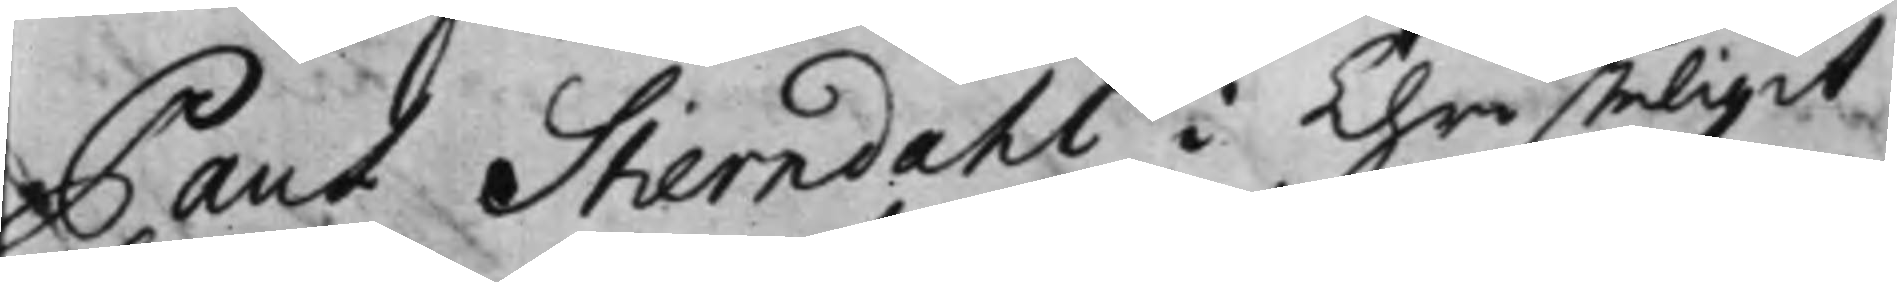Paul Stierndahl + i Christeligit
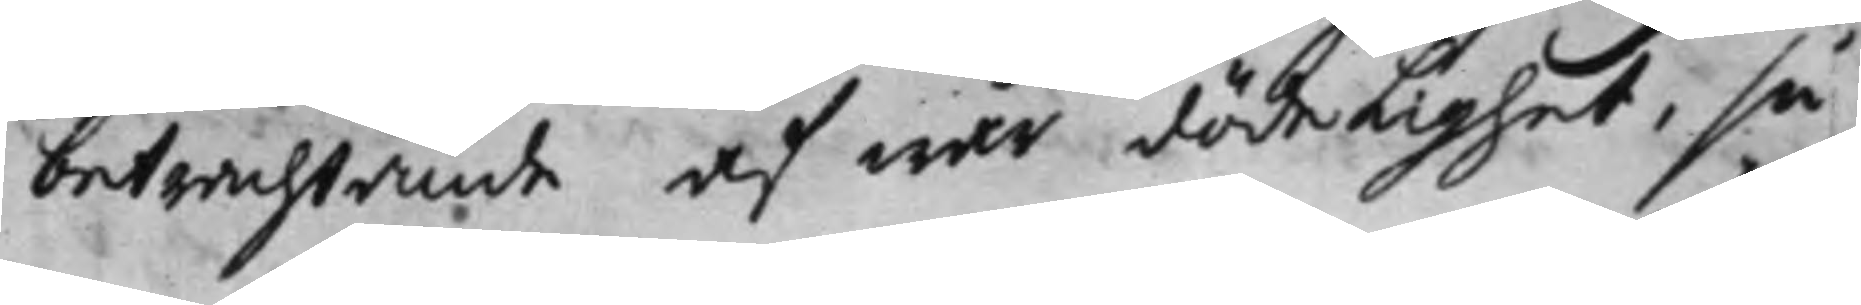betrachtande af wår dödelighet, så
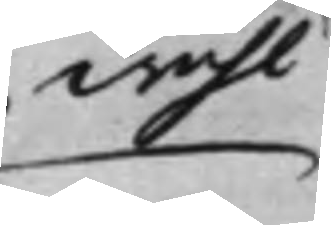wähl
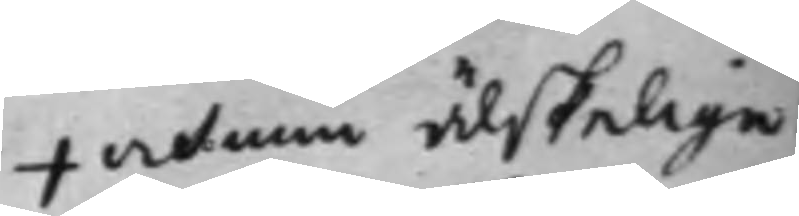+ och min älskelige
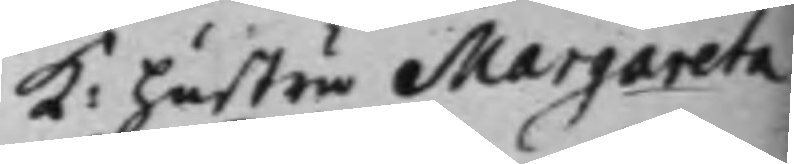K: hustru Margareta
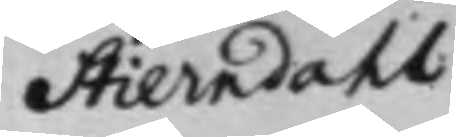Stierndahl
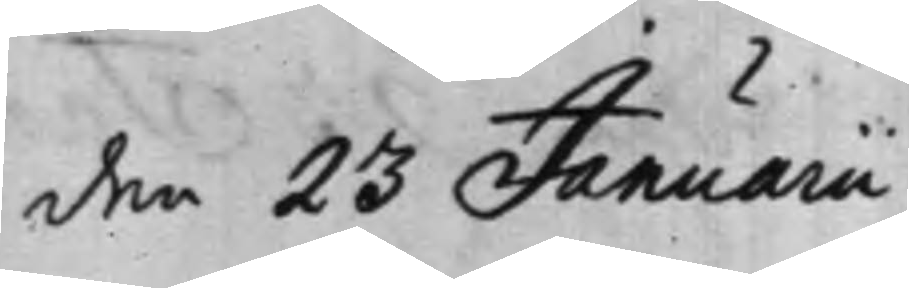den 23 Januarii
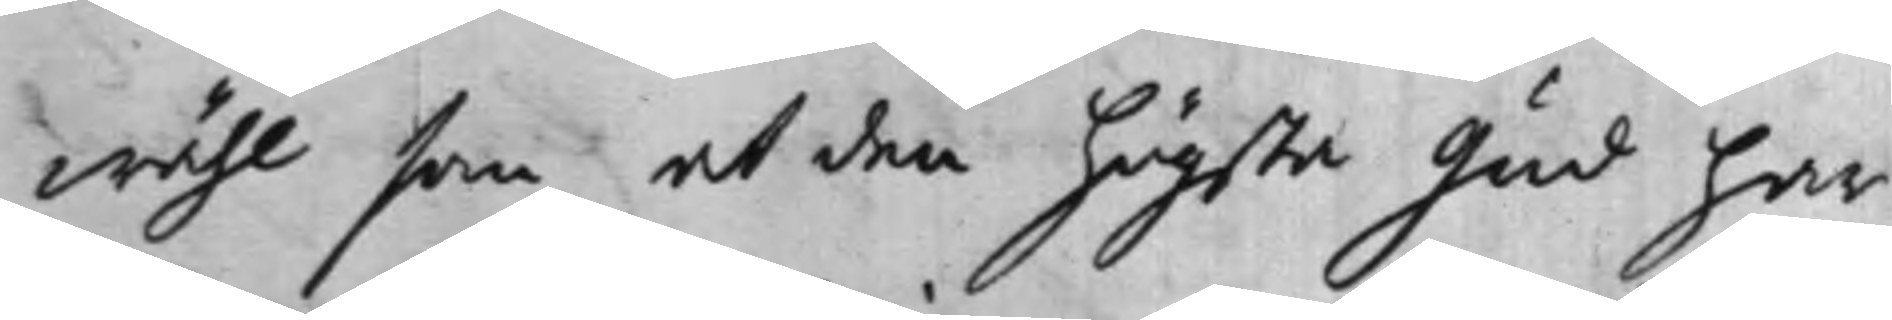wähl som at den högsta Gud har
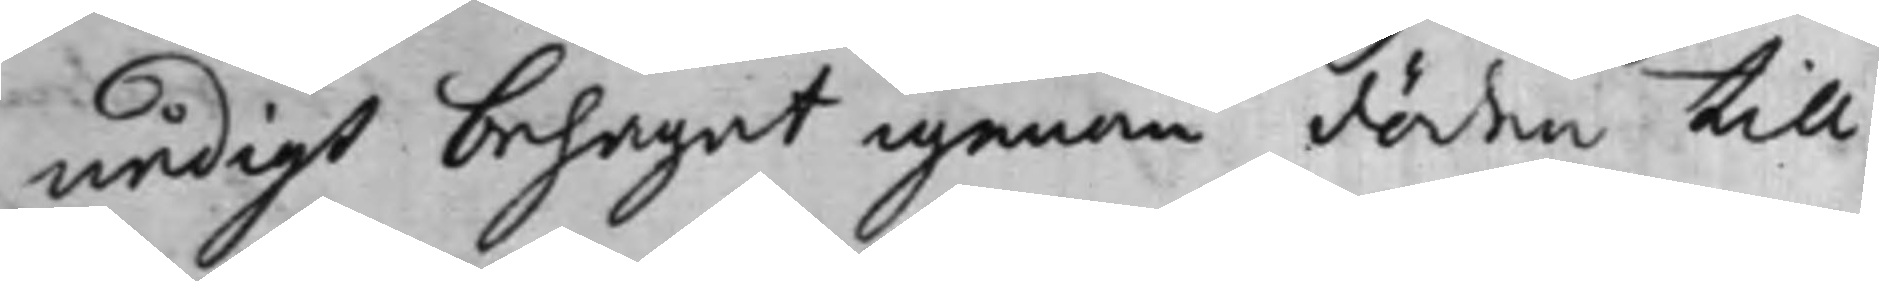nådigt behagat igenom döden till
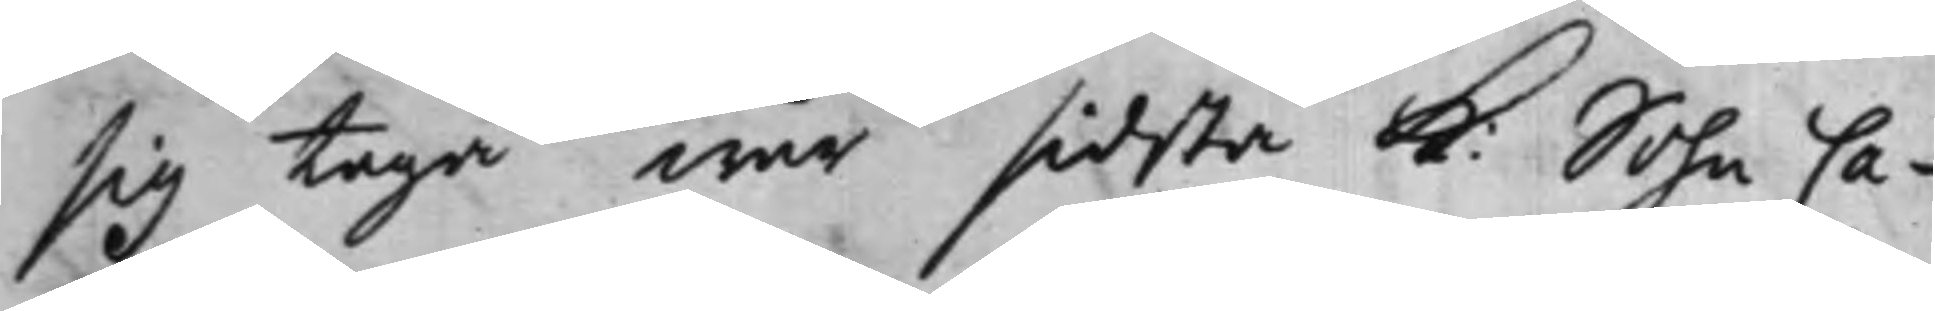sig taga wår sidsta K: Sohn Ca¬
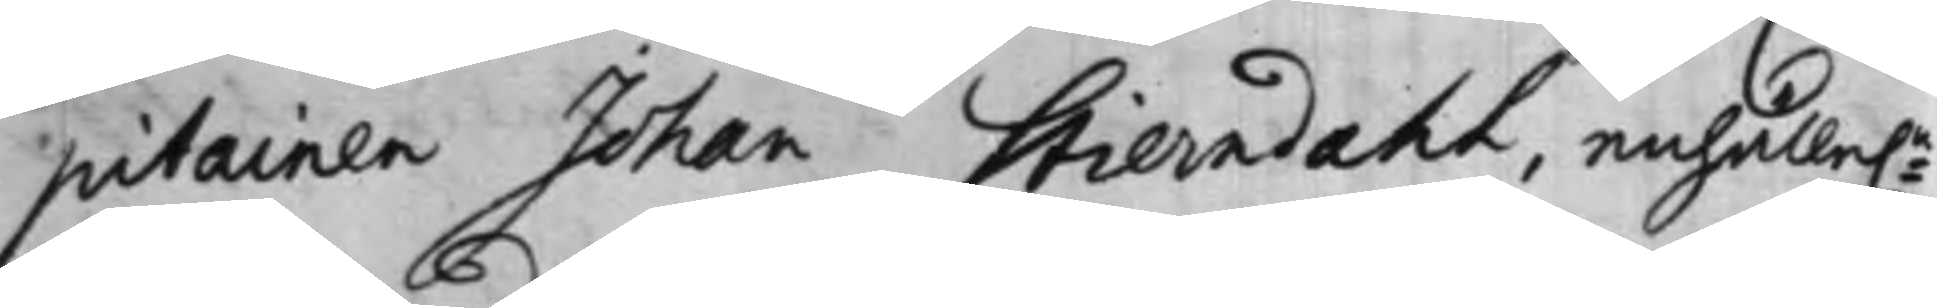pitainen Johan Stierndahl, enhälle:n
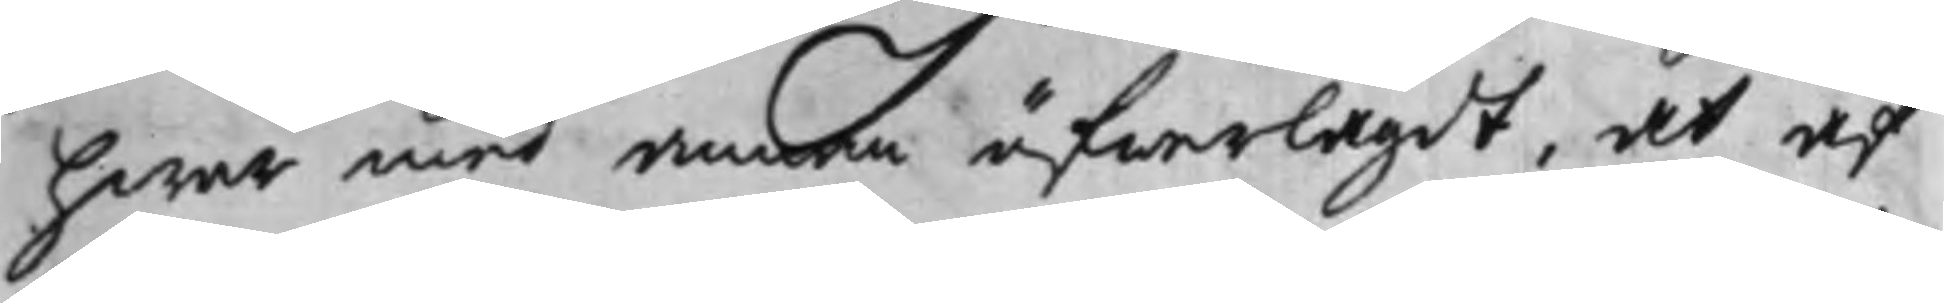hwar med annan öfwerlagdt, at af
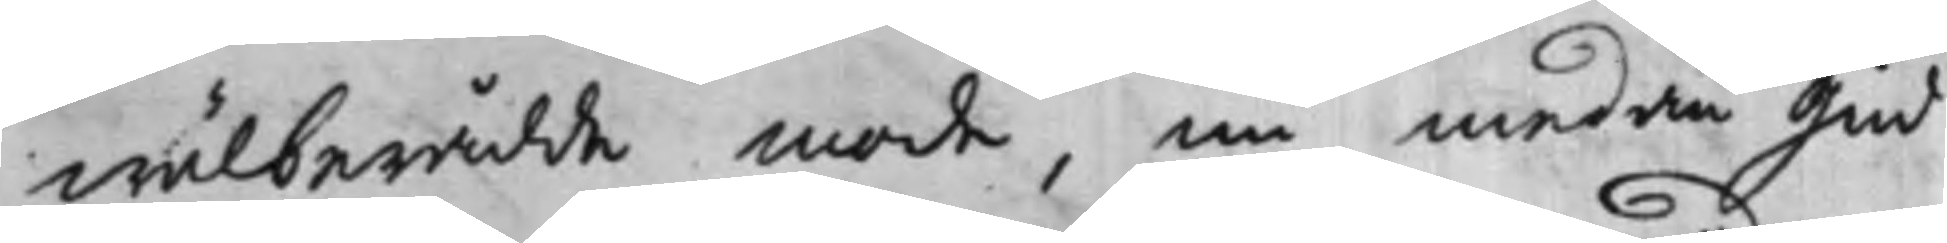wälberådde mode, nu medan Gud
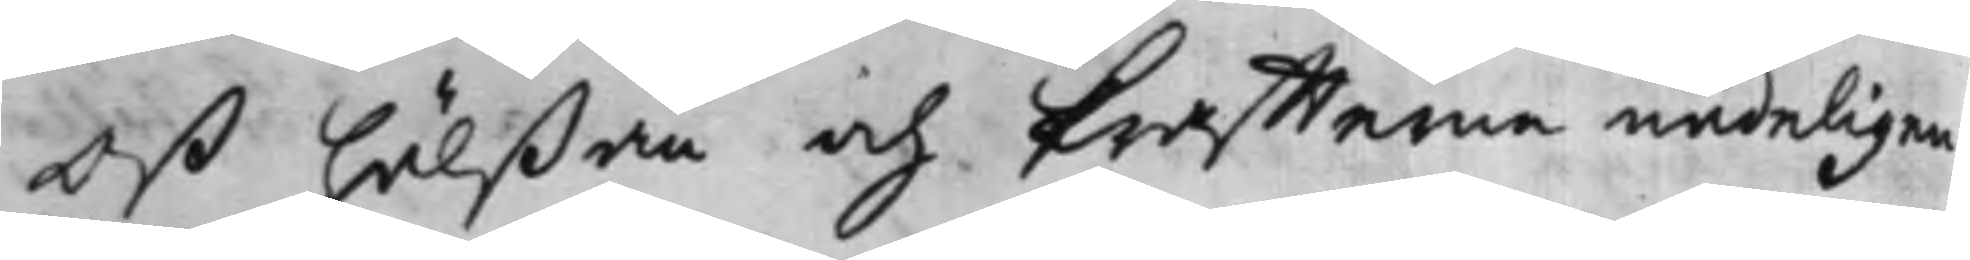oß hälßan och kraffterna nådeligen
